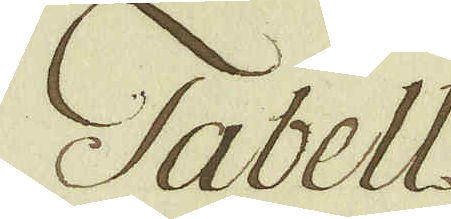Tabell
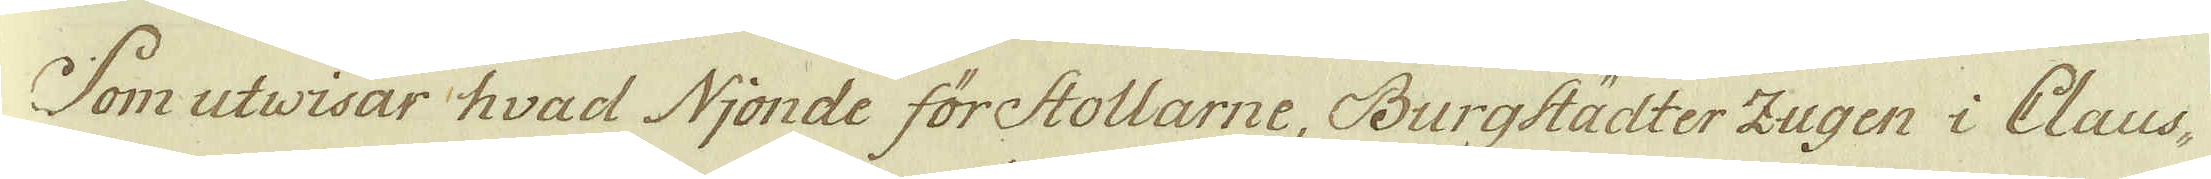Som utvisar hvad Njonde förstollarne, Burgstädter Zugen i Claus-
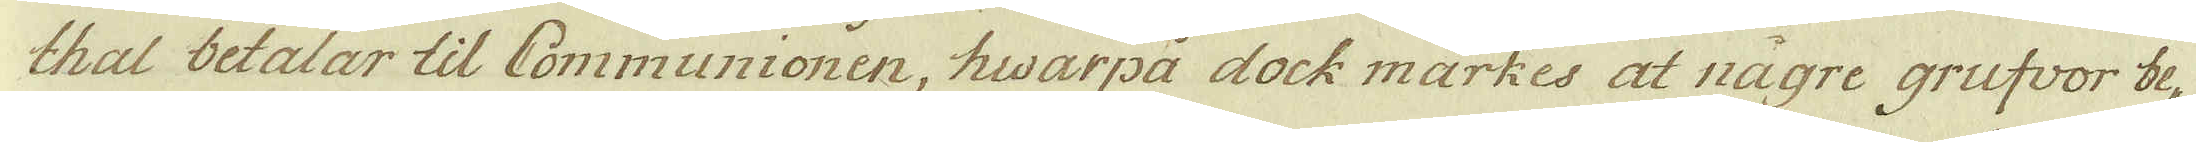thal betalar til Communionen, hwarpa dock märkes at nägre grufvor be-
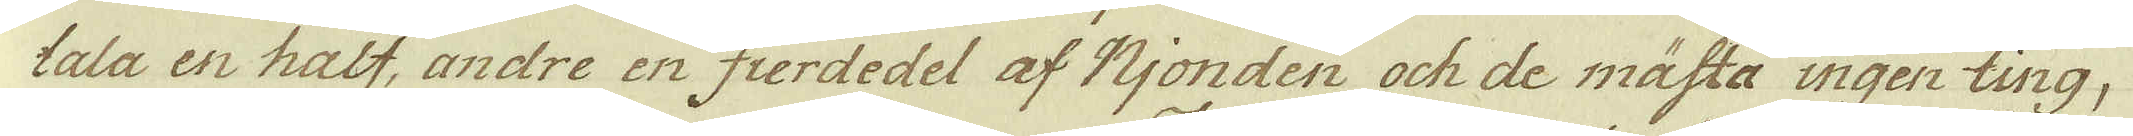tala en half, andre en fierdedel af Njonden och de mästa ingen ting,
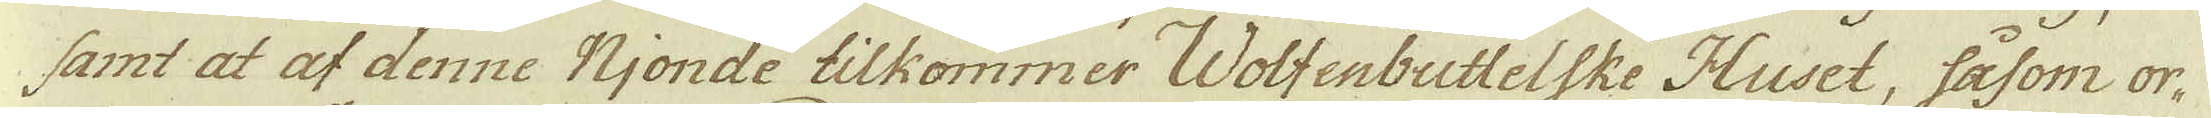samt at af denne Njonde tilkommer Wolfenbuttelske Huset, såsom or-
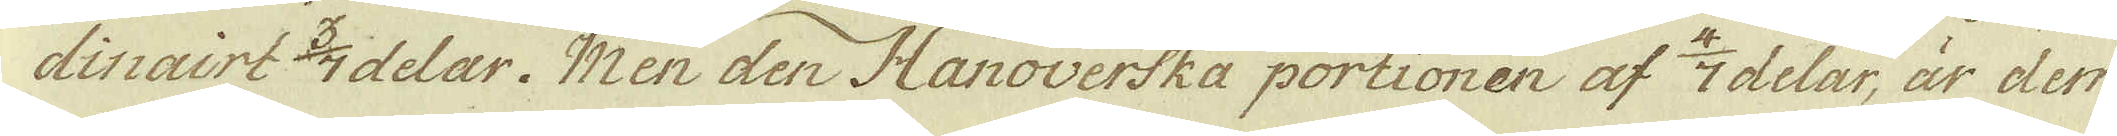dinairt 3/7 delar. Men den Hanoverska portionen af 4/7 delar, är den-
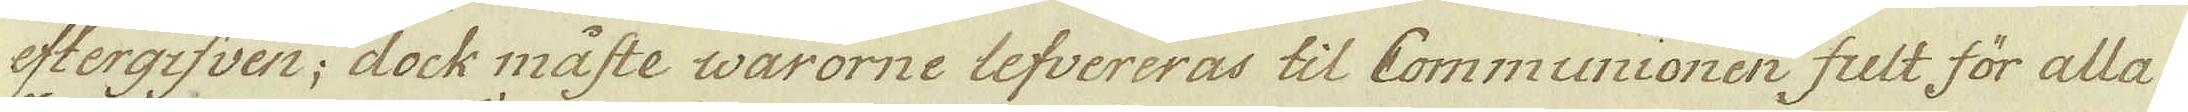eftergisven; dock måste warorne lefvereras til Communionen fult för alla
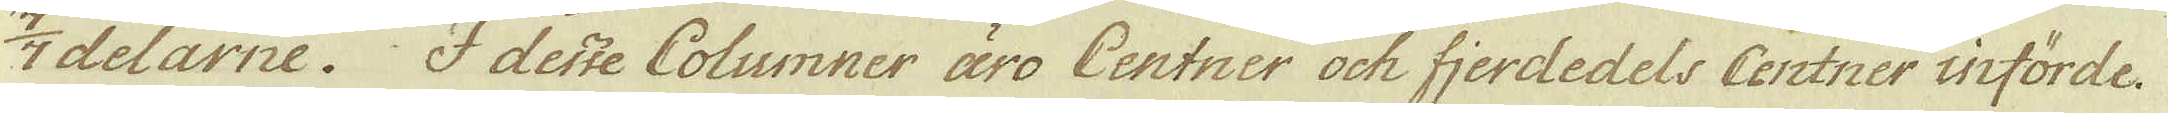7/7 delarne. I desse Columner äro Centner och fjerdedels Centner införde.
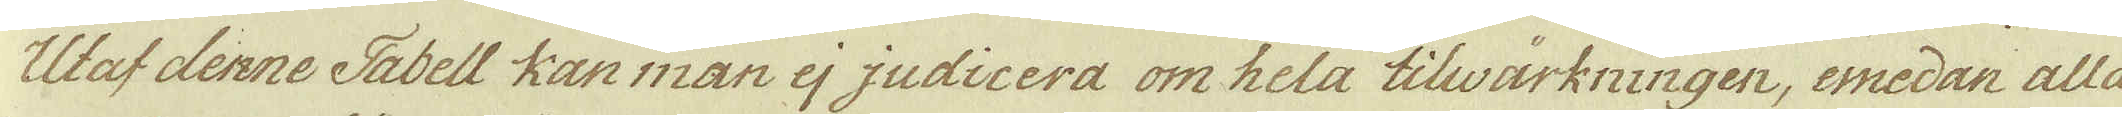Utaf denne Tabell kan man ej judicera om hela tilwärkningen, emedan alla
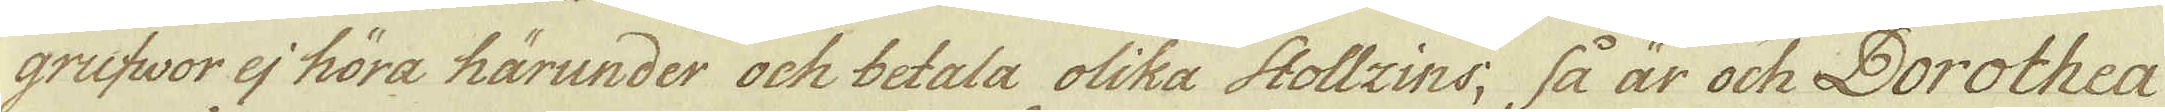grufwor ej höra härunder och betala olika Stollzins; så år och Dorothea
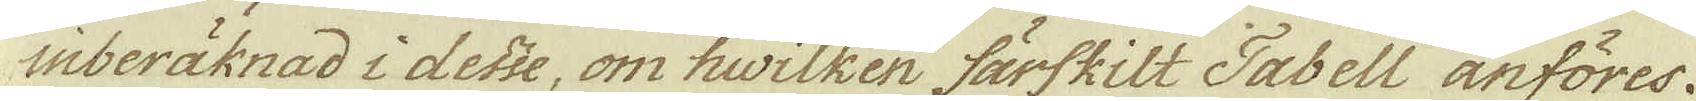inberäknad i desse, om hwilken färskilt Tabell anföres.
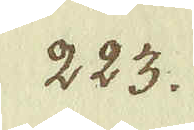223.
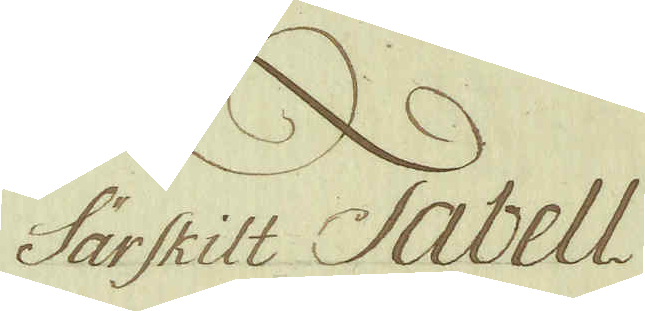Särskilt Tabell
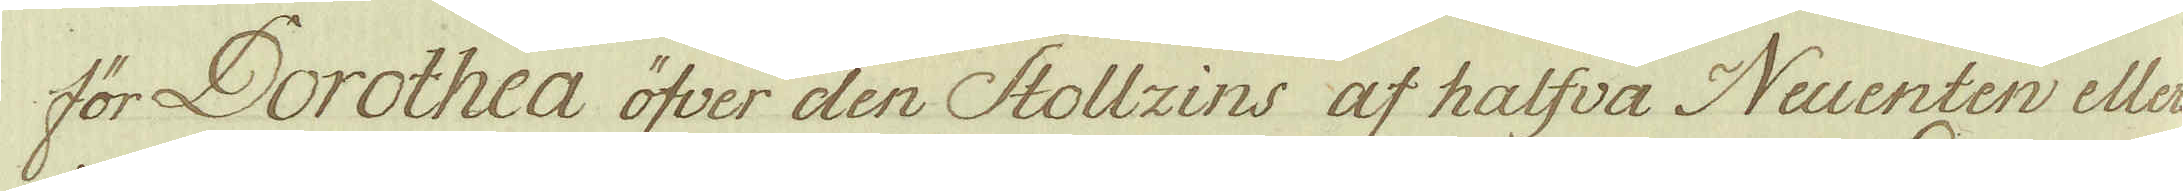för Dorothea öfver den Stollzins af halfva Neuenten eller
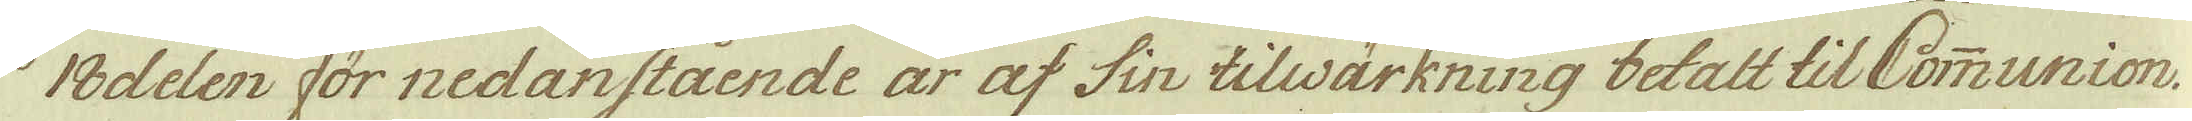18delen för nedanstående år af sin tilwärkning betalt til Communion
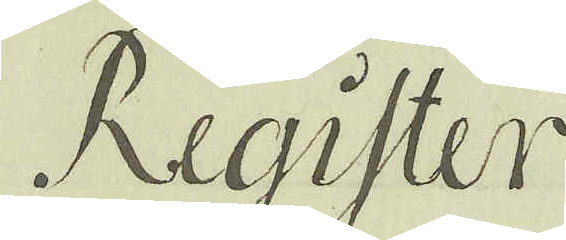Register
